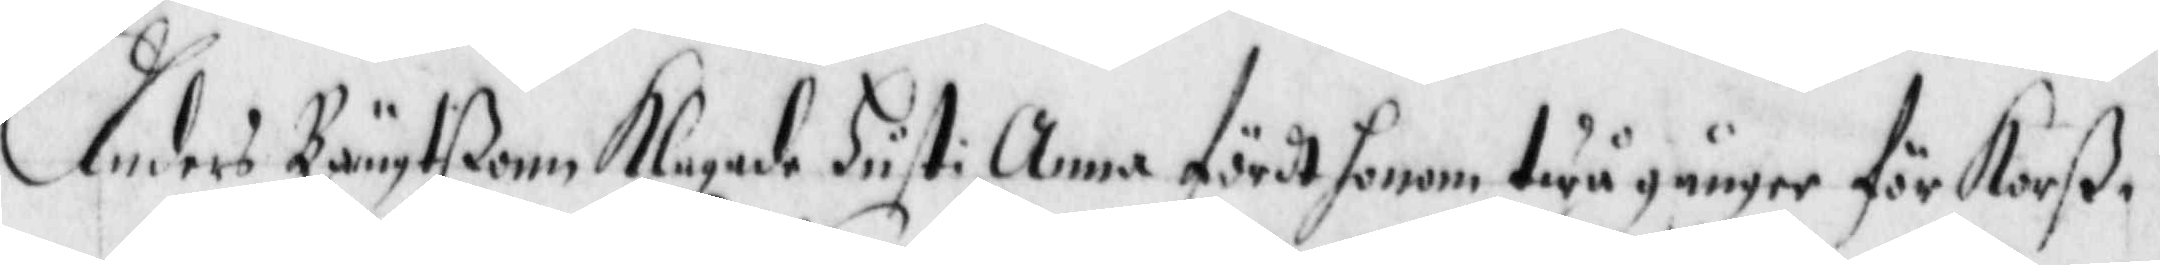Anders Bängtßonn Klagade hust: Anna fördt honom twå gånger för Korß¬
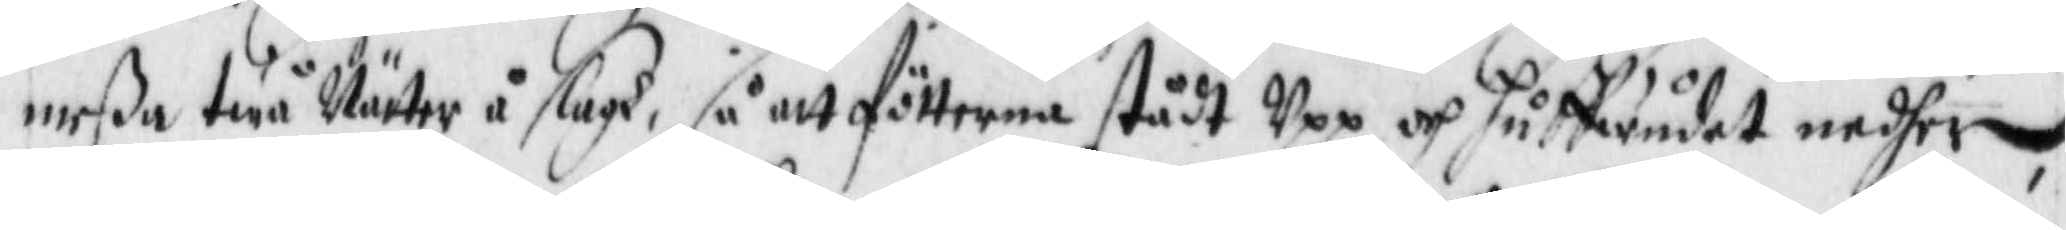meßa twå Nätter i slagh, så att fötterna stådt Upp och huffwudet nedher,
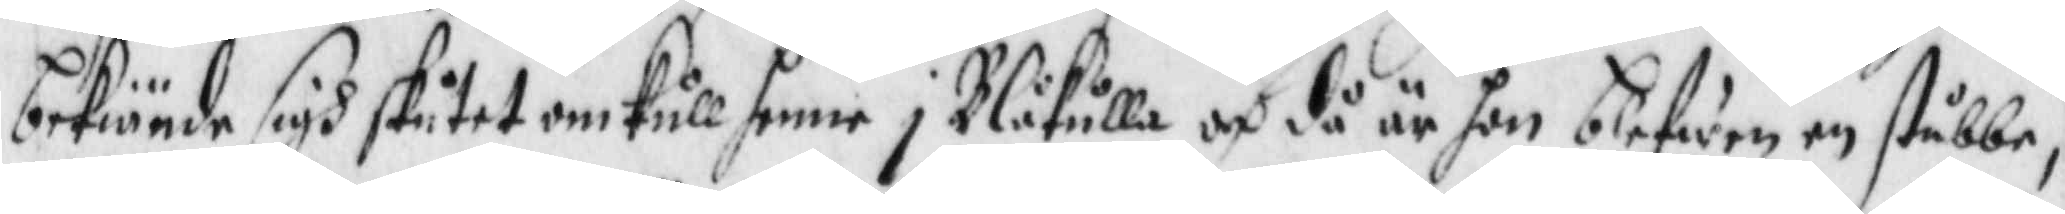bekiände sigh skitet omkull henne i Blåkulla och då är han blefwen en stubbe,
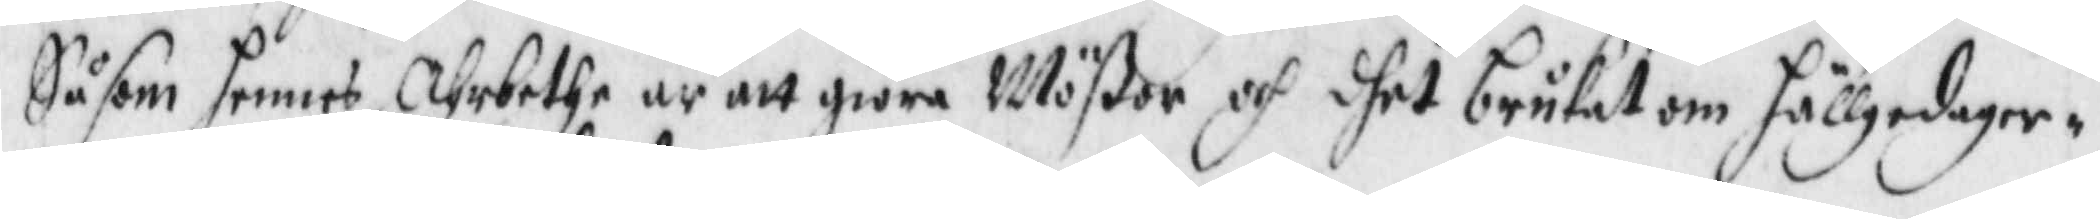Såsom hennes Ahrnethe är att giöra Mßor och dhet brukat om hällgdagar¬
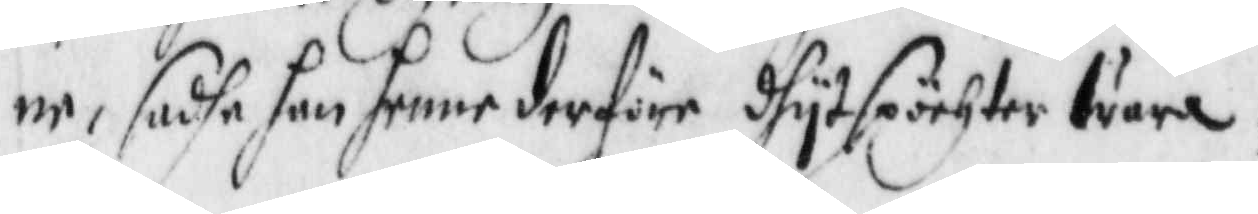ne, sadhe han henne derföre dhytspörhter wara.
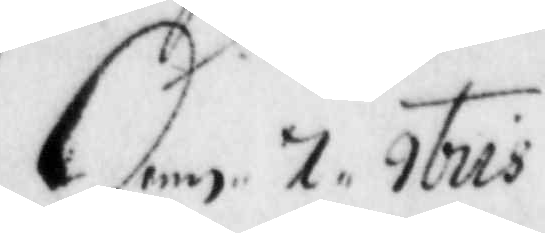Denn 7 9bris.
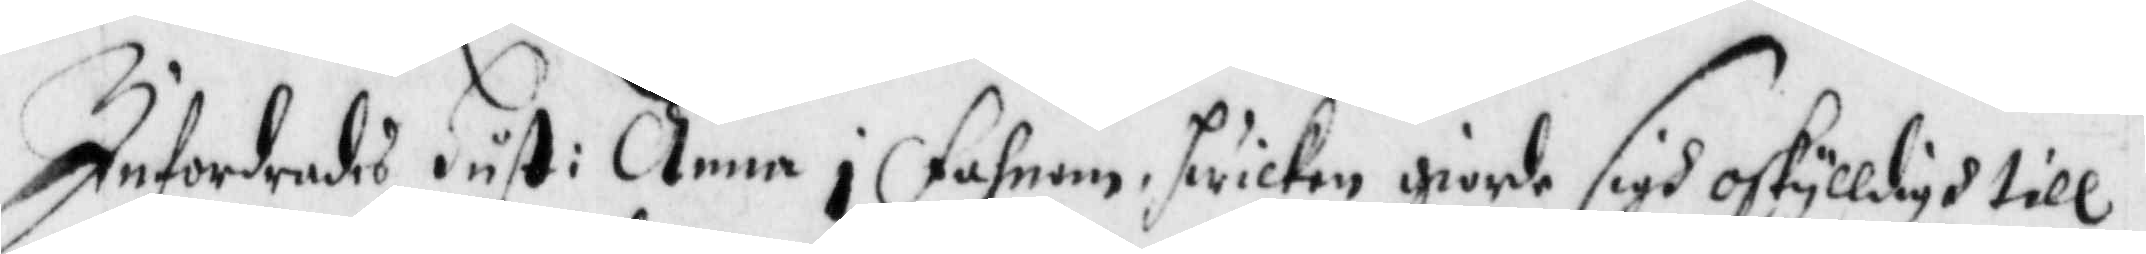Infordrades Hust: Anna i fahnen, hwilken giorde igh oskylldigh till
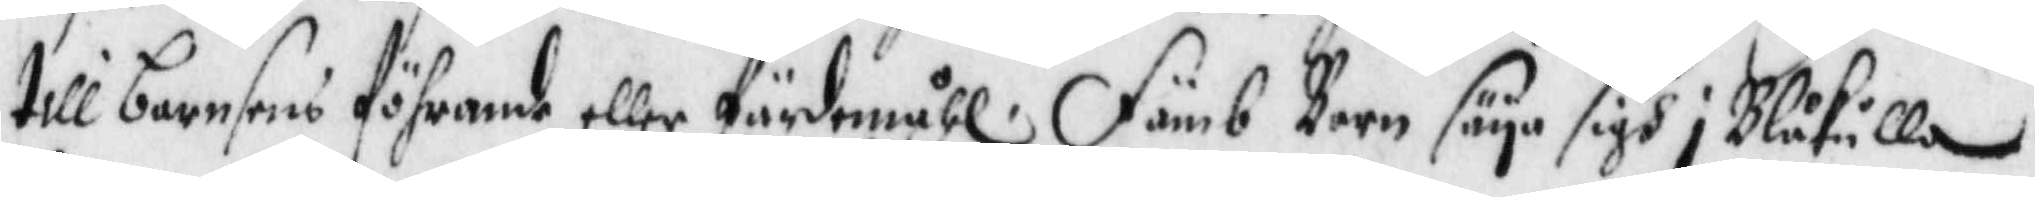till barnsens föhrande eller färdmåhl. Fämb Barn säya sigh i Blåkulla
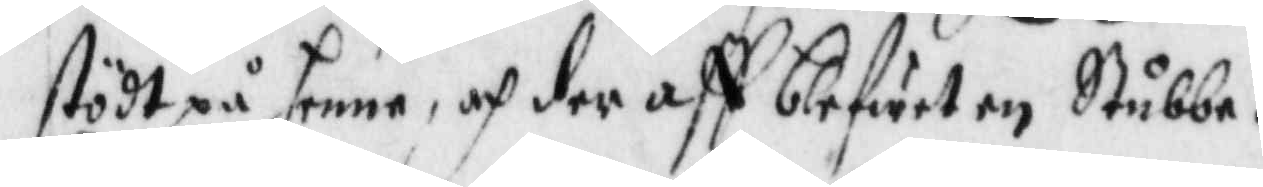stödt på henne, och der aff blifwit en Stubbe.
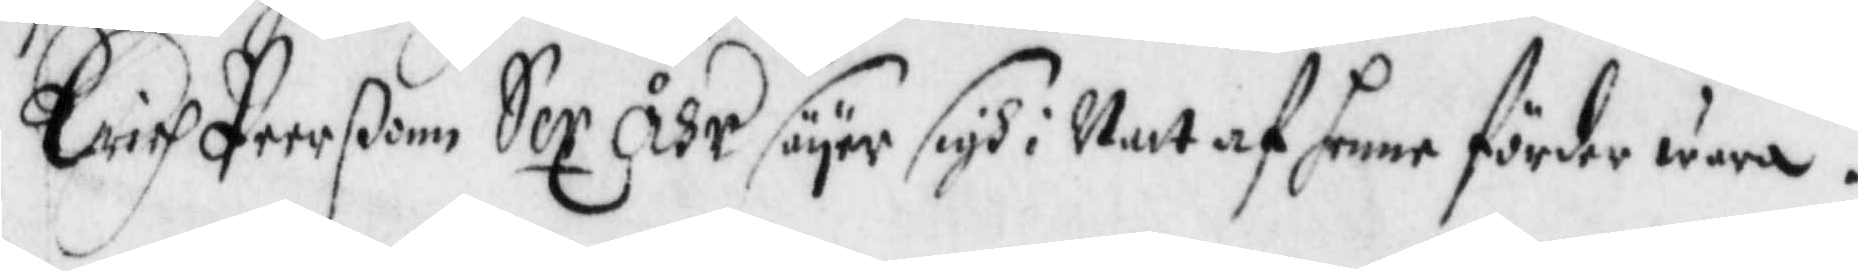Erich Peerßonn Sex Åhr säyer sigh i Natt af henne förder wara.
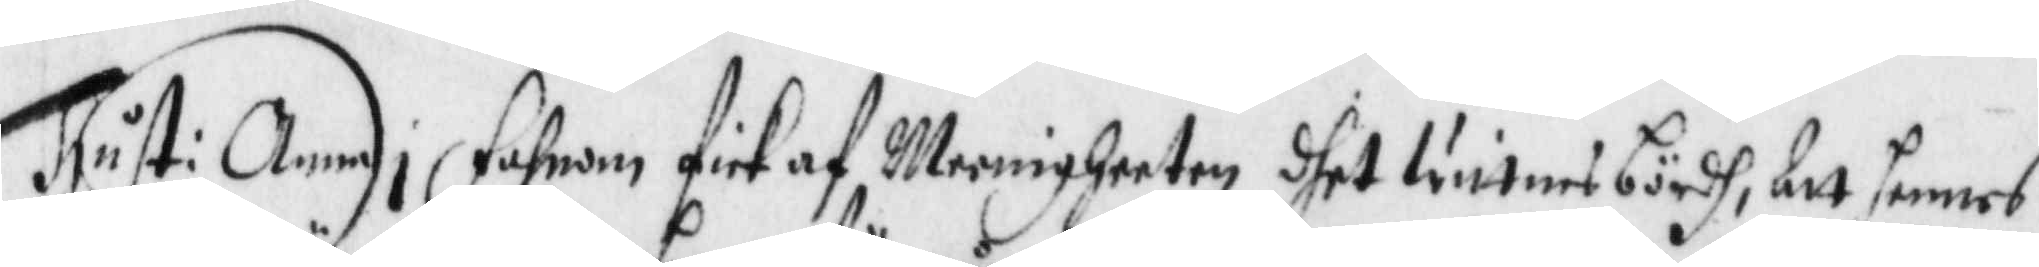Hust: Anna i Fahnom fick af Meenigheeten dhet wittnes bördh, att hennes
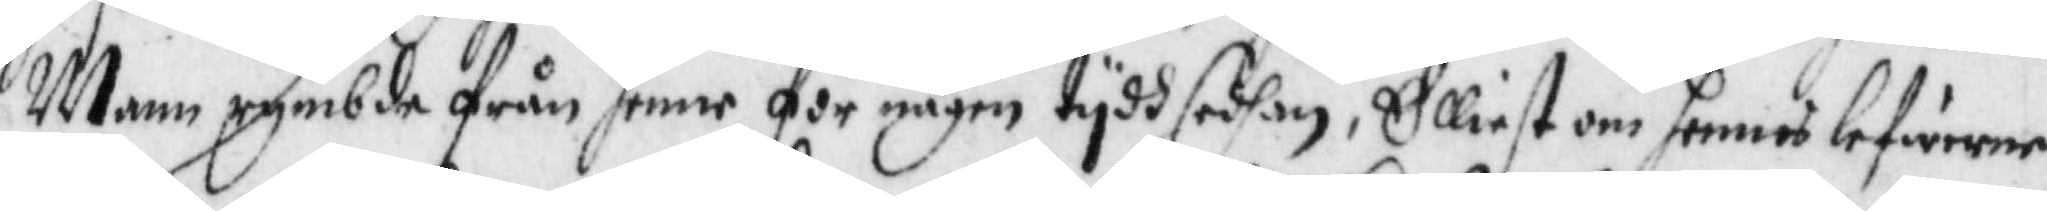Mann rymbde från hennen någon tydh sedhan, Elliest om hennes lefwerne
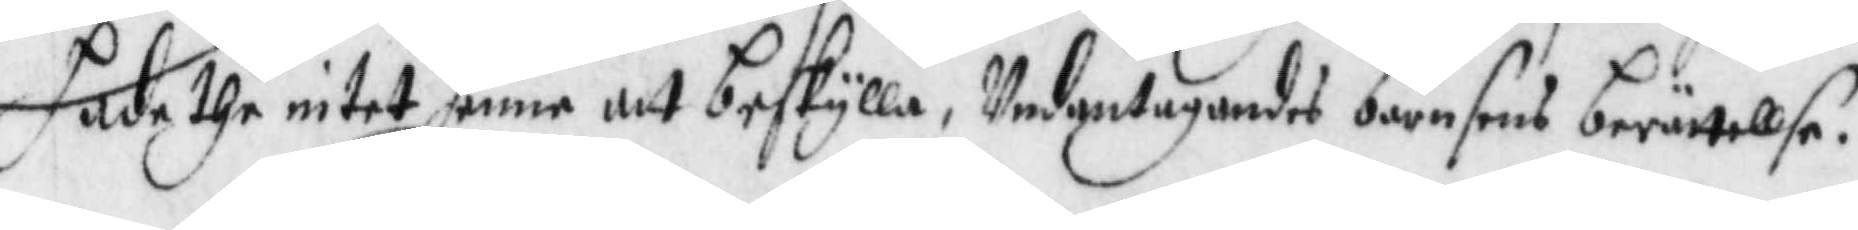hade the intet henne att beskylla. Undantagandes barnsens berättellse.
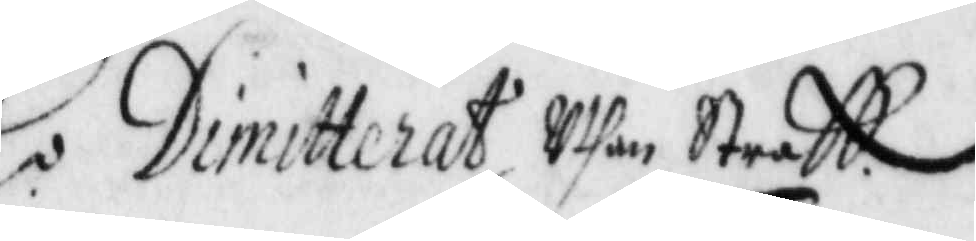RX: Dimitterat Uthan Straff.
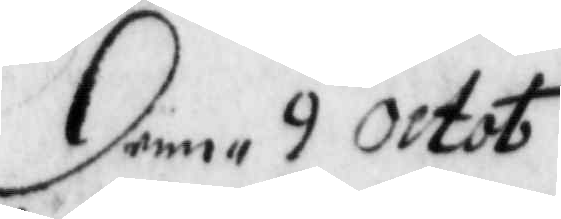Denn 9 Octob
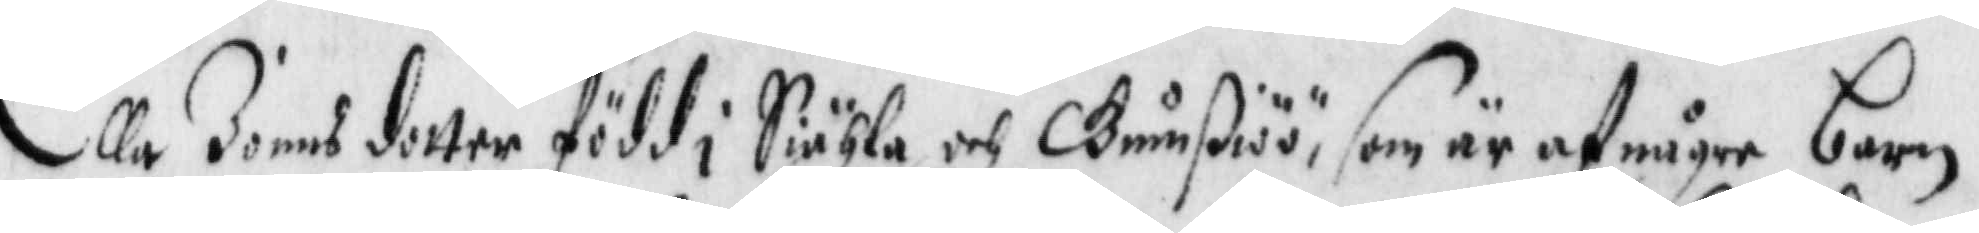Ella Jonns dotter född i Siähla och Bunßiöö, som af någre barn
